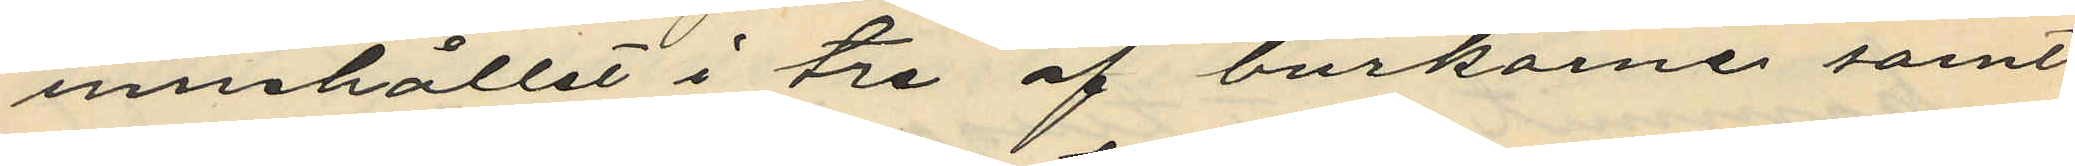innehållet i tre af burkarne samt
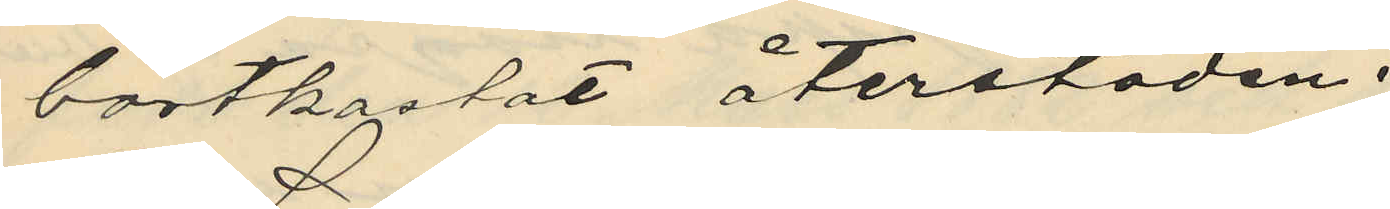bortkastat återstoden.
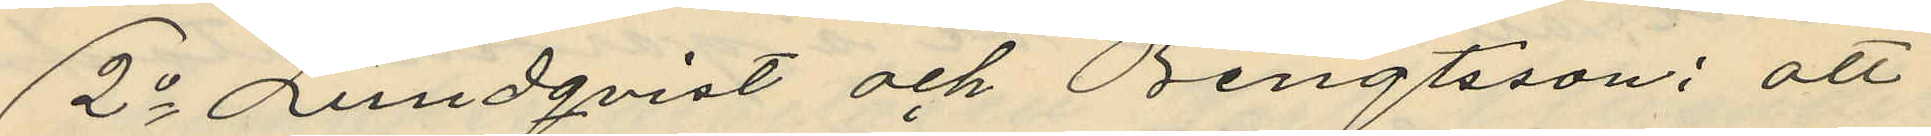2o Lundqvist och Bengtsson: att
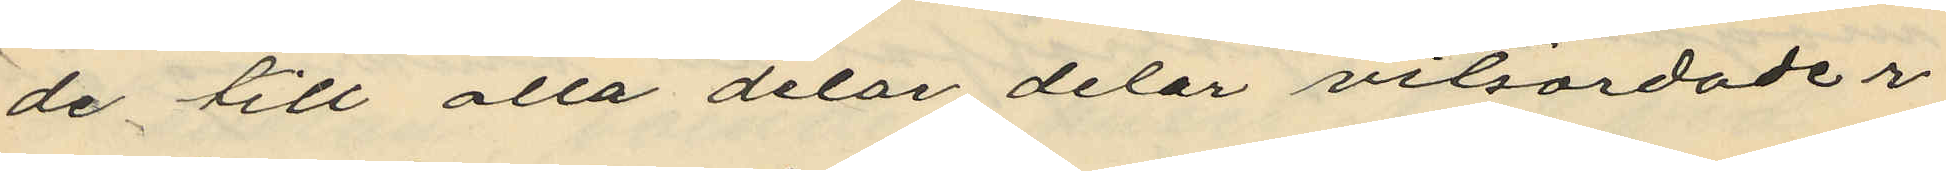de till alla delar delar vitsordader
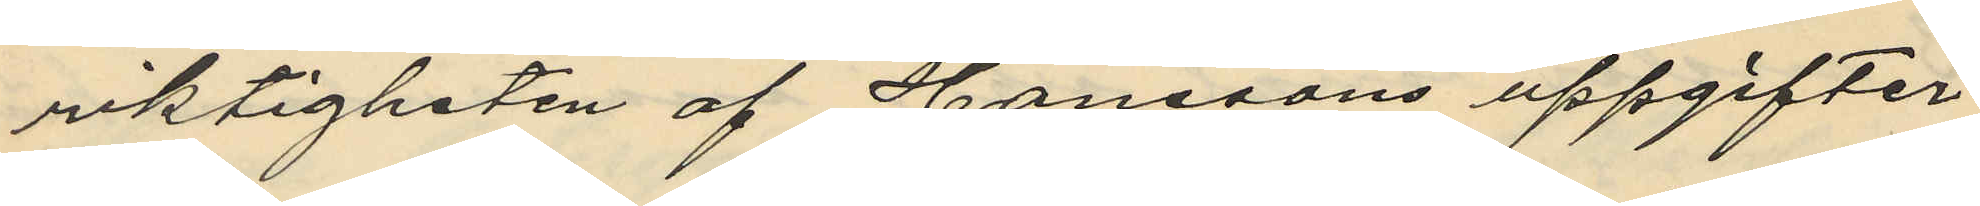riktigheten af Hanssons uppgifter
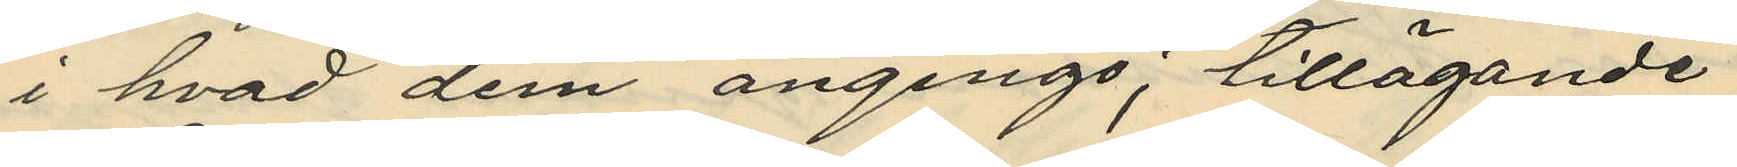i hvad dem anginge; tillägande
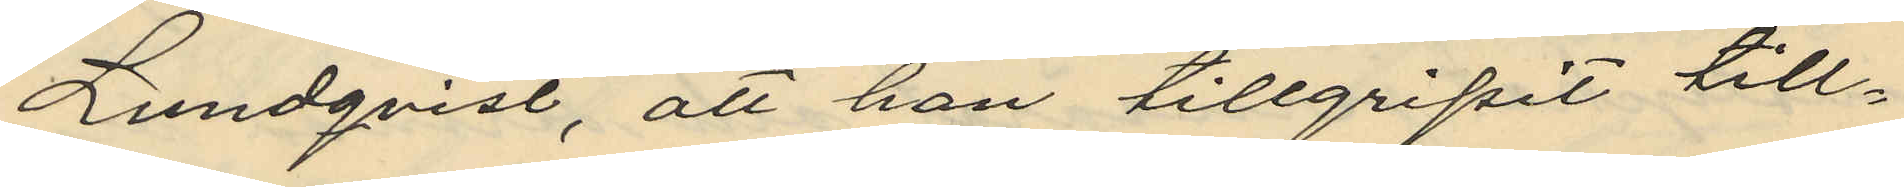Lundqvist, att han tillgripit till¬
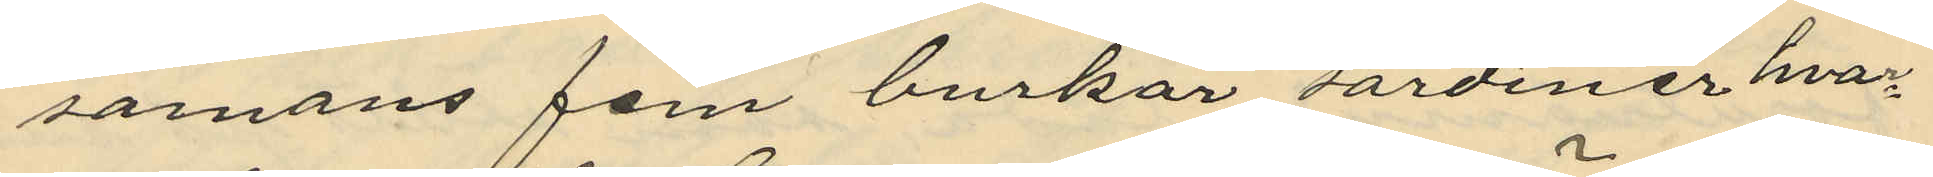samans fem burkar sardiner hvar¬
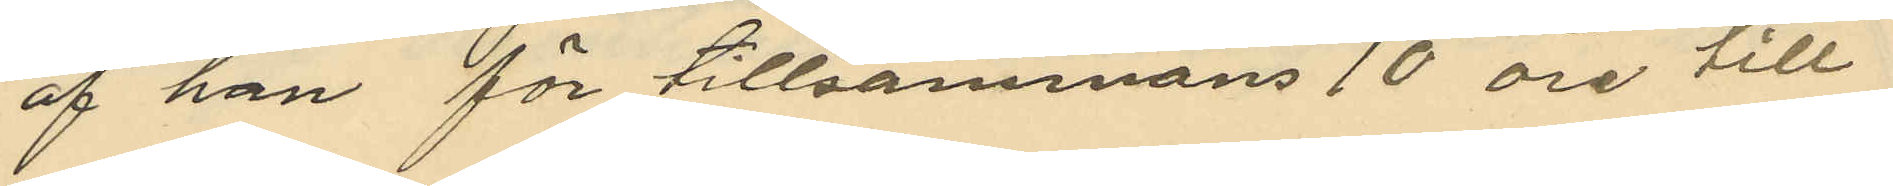af han för tillsammans 10 öre till
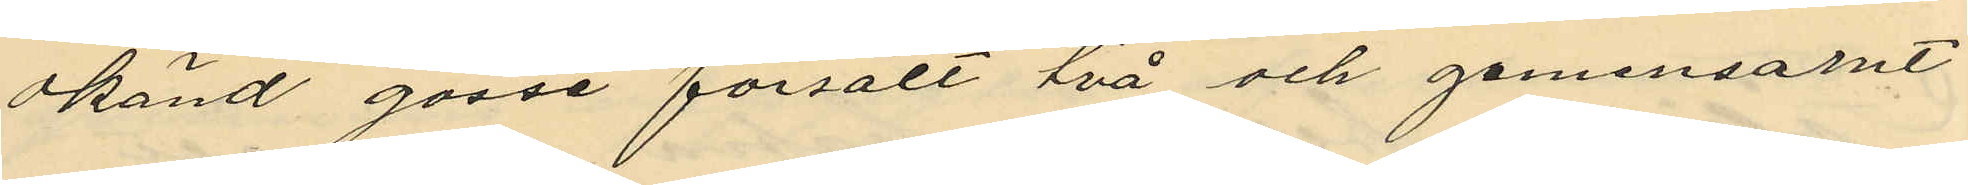okänd gosse försålt två och gemensarnt
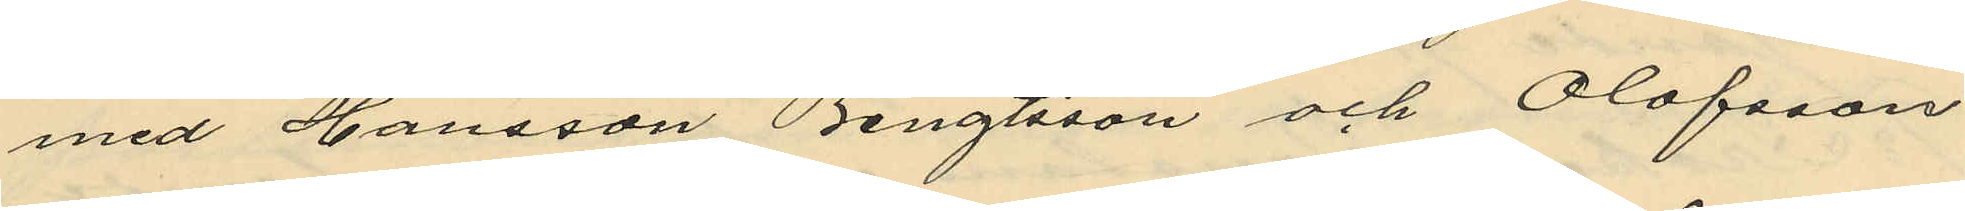med Hansson Bengtsson och Olofsson
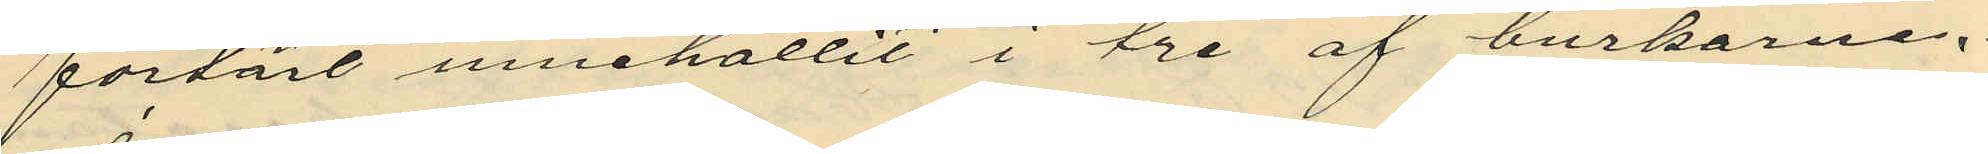förtärt innehållit i tre af burkarne.
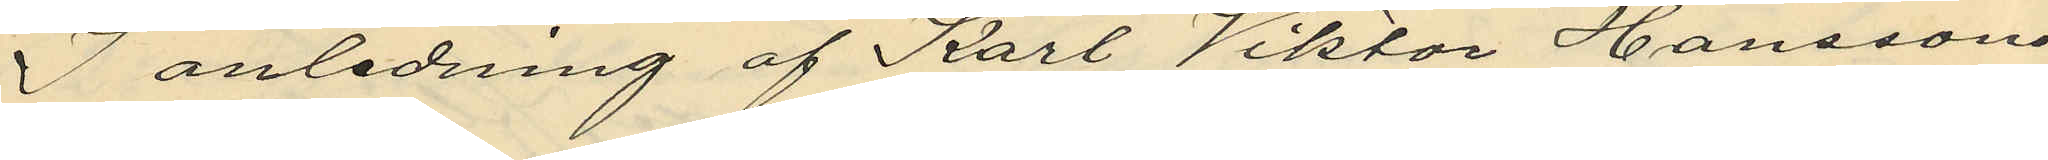I anledning af Karl Viktor Hanssons
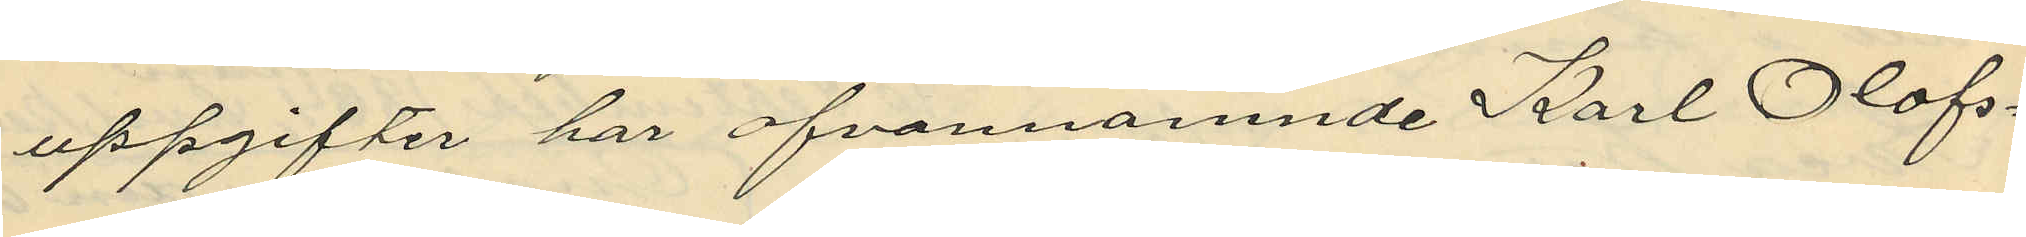uppgifter har ofvannämnde Karl Olofs¬
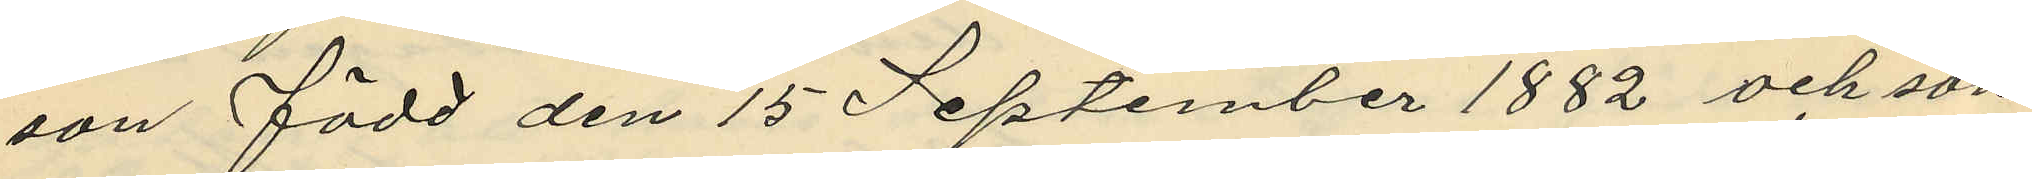son född den 15 September 1882 och son
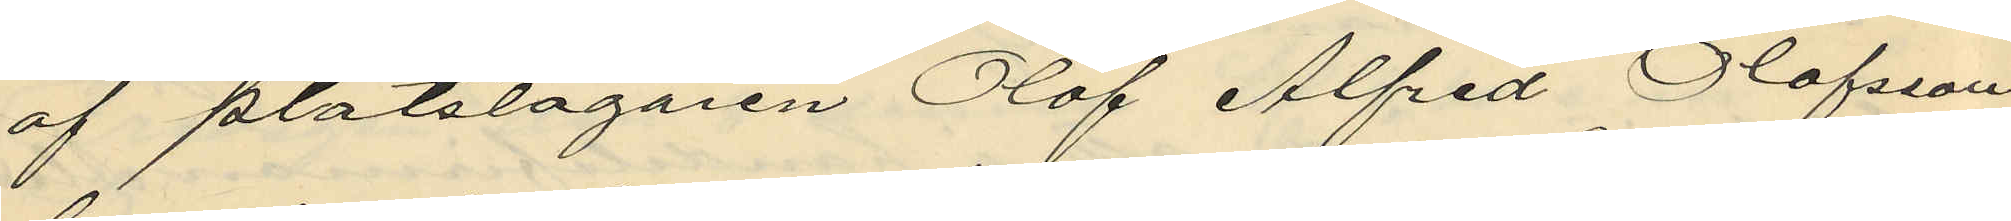af plåtslagaren Olof Alfred Olofsson
